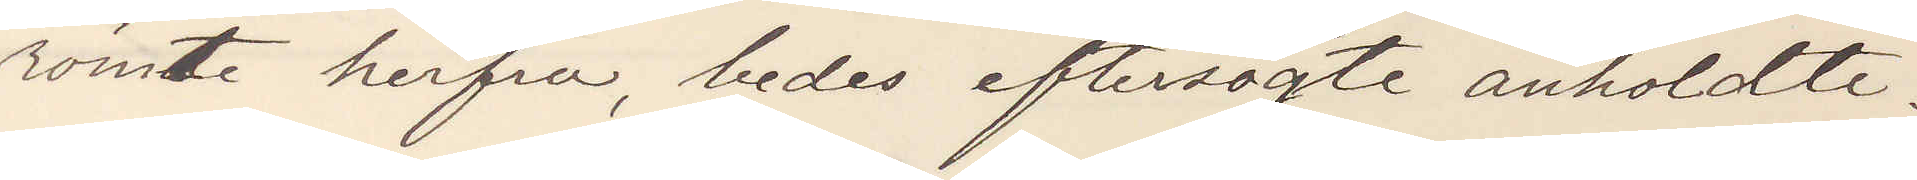römte herfra, bedes eftersögte anholdte.
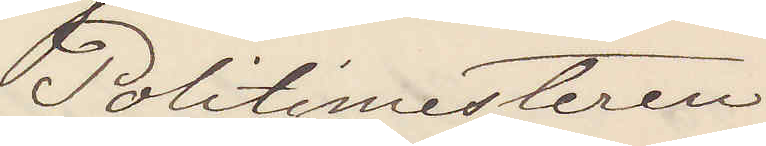Politimesteren
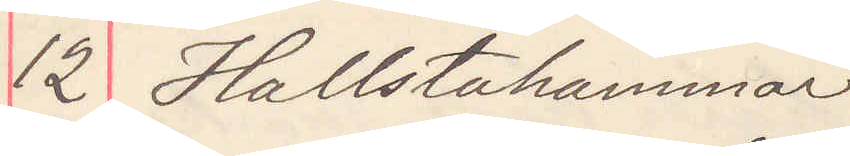12 Hallstahammar
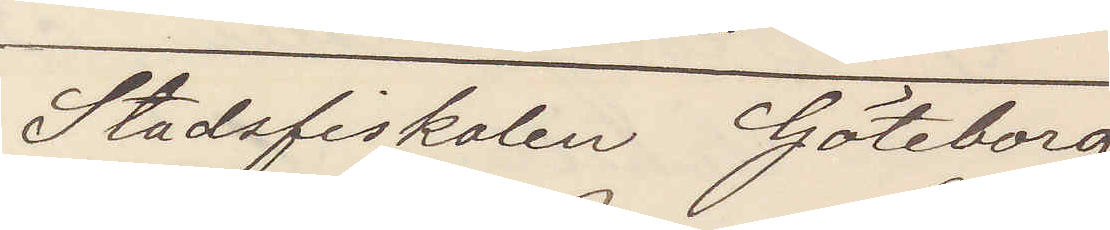Stadsfiskalen Göteborg
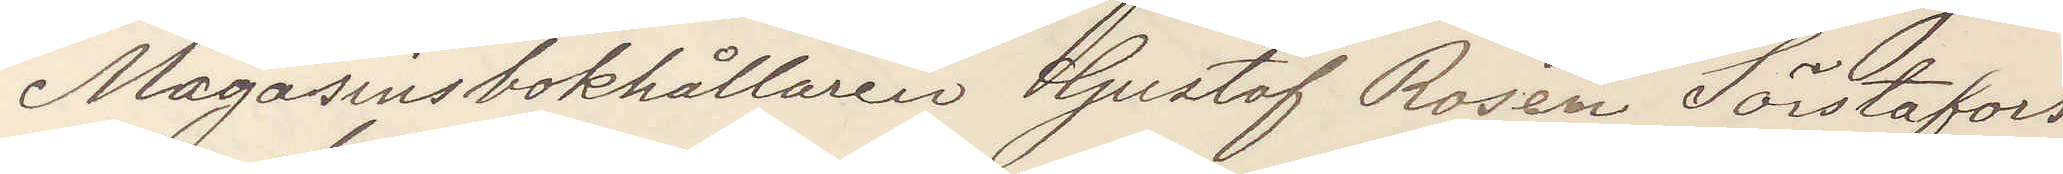Magasinsbokhållaren Gustaf Roden Sörstafors
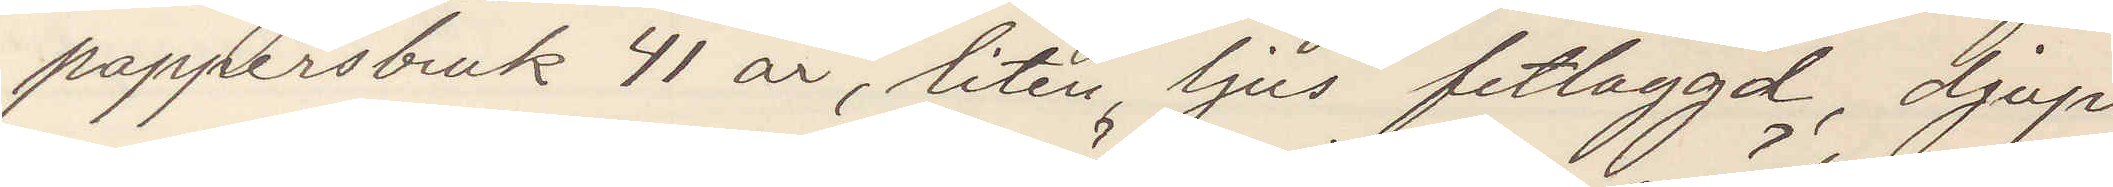pappersbruk 41 år, liten, ljus fetlagd, djup
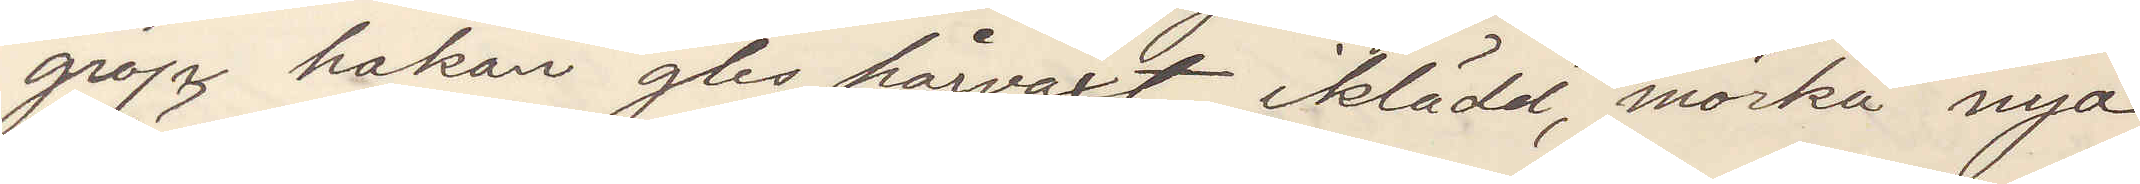grop hakan gles hårväxt, iklädd mörka nya
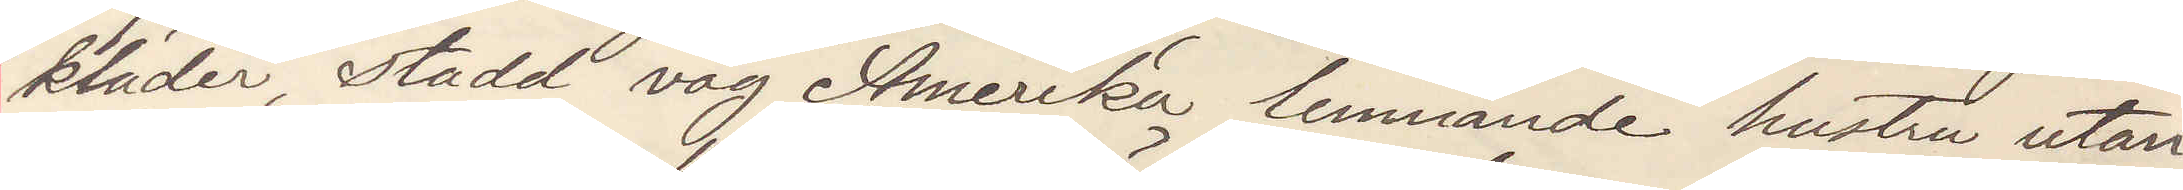kläder, stadd väg Amerika lemnande hustru utan
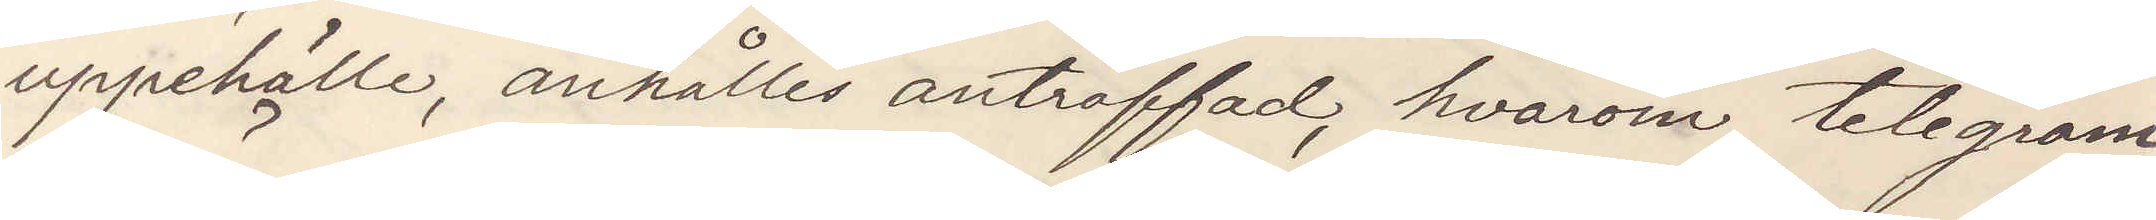uppehälle, anhålles anträffad, hvarom telegram
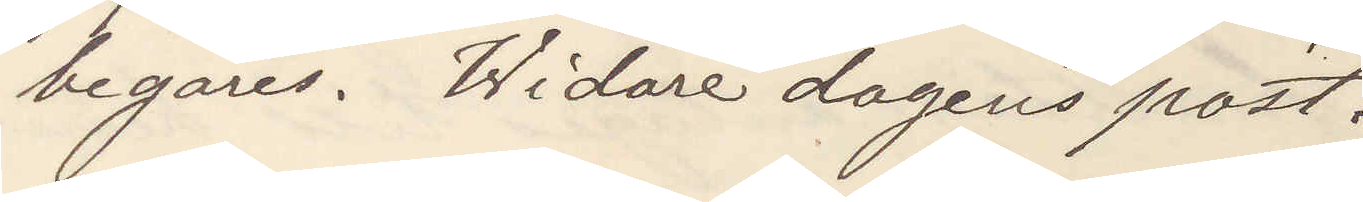begäres. Widare dagens post.
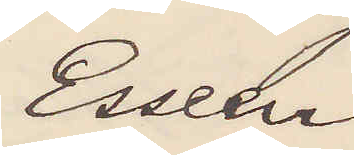Esseen
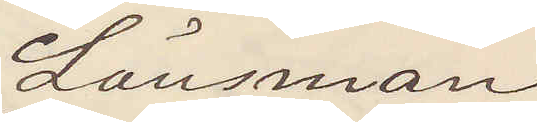Länsman
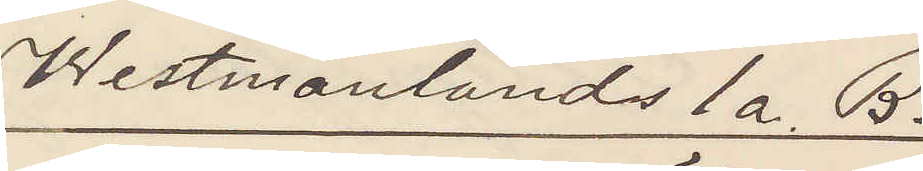Westmanlands 1a. B
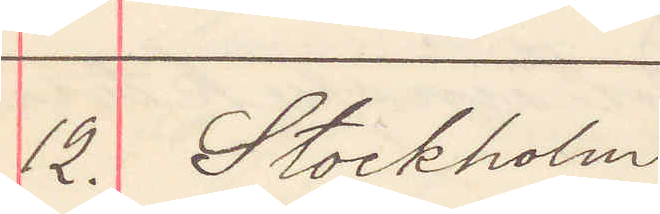12. Stockholm
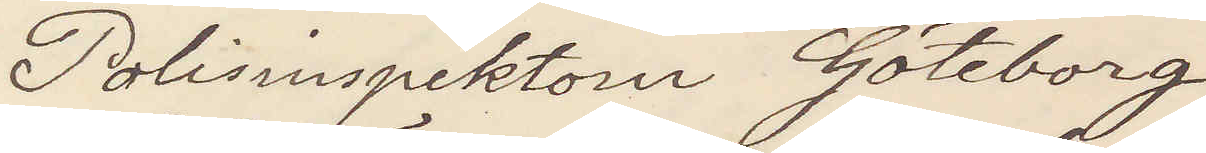Polisinspektorn Göteborg
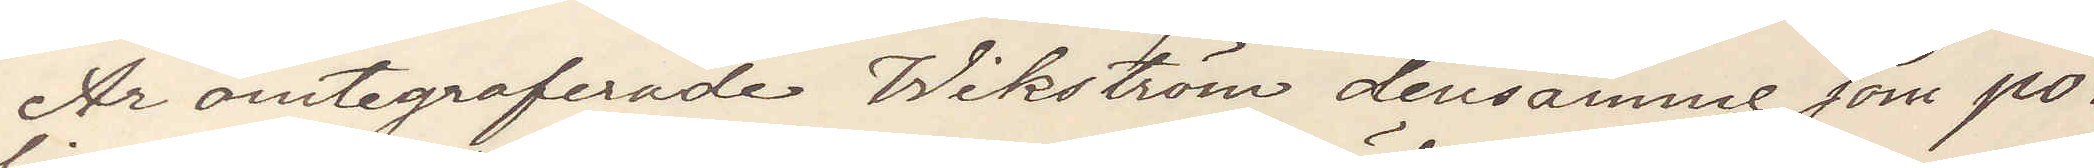Är omtelegraferade Wikström densamme som Po¬
